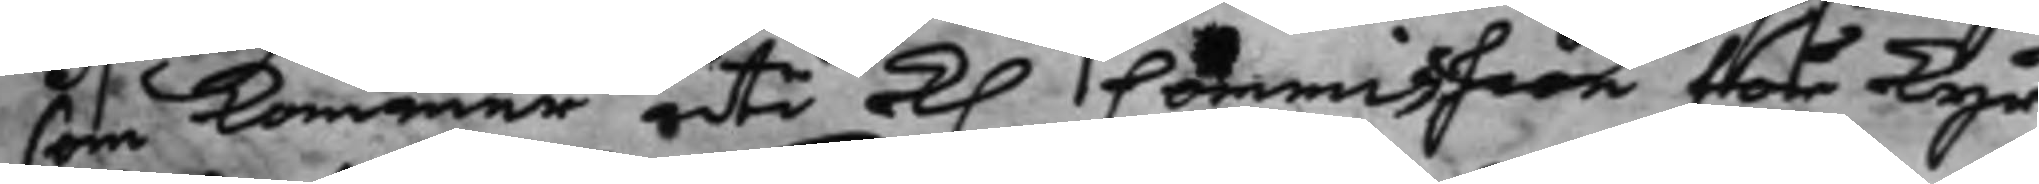som kommer uti K. Commission för Kyr¬
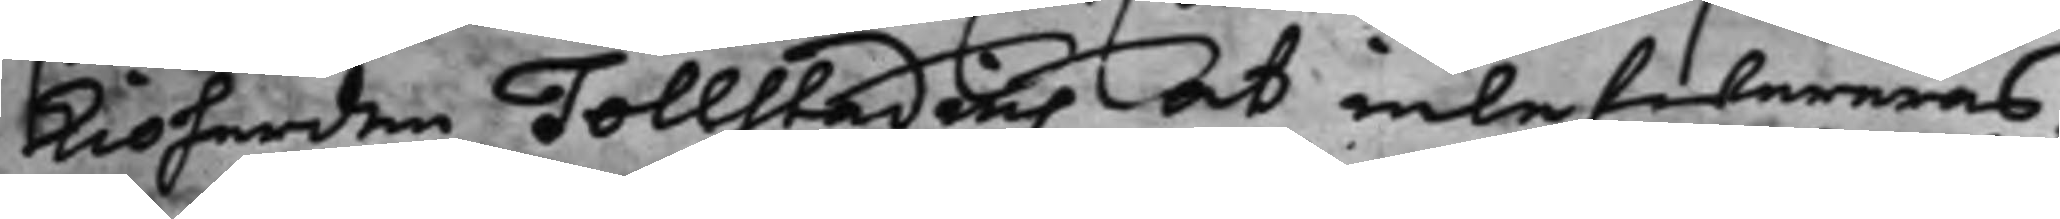kioherden Tollstadius at inlefwereras,
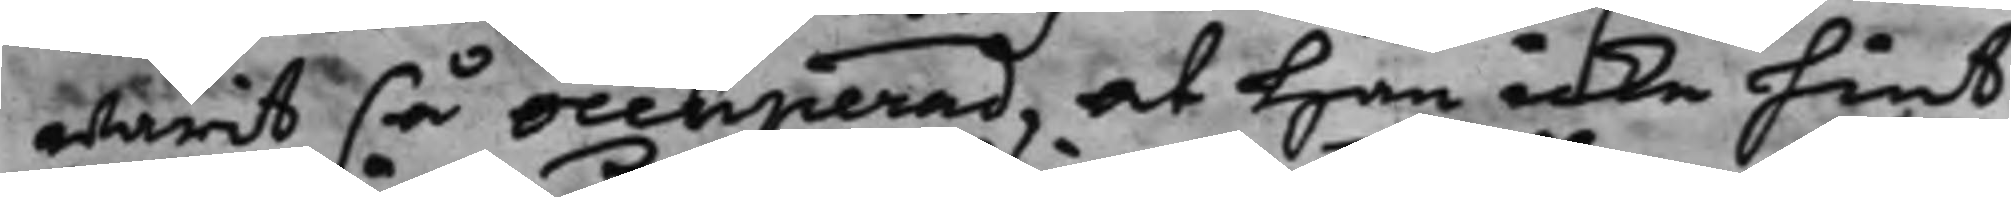warit så occuperad, at han icke hint
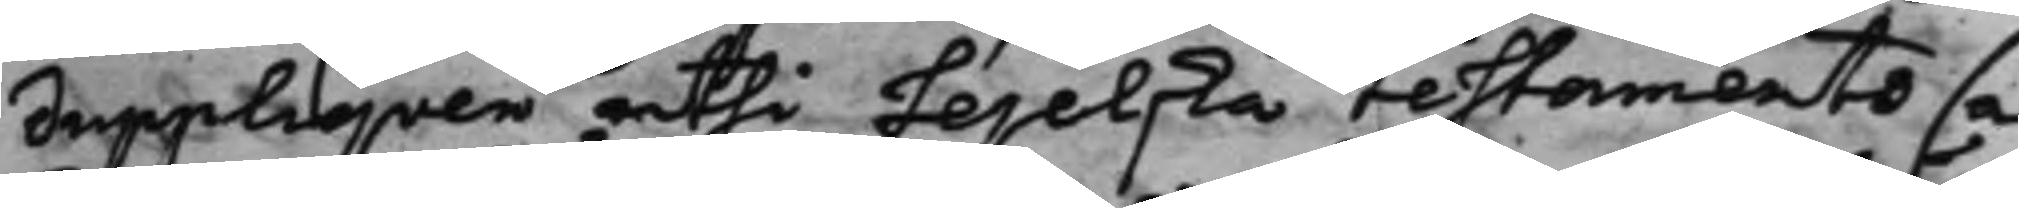Suppliqven uthi Lejelska Testaments sa¬
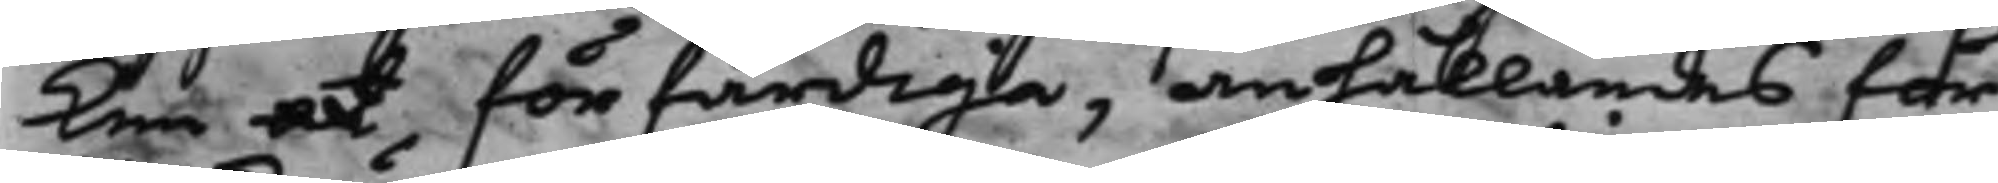ken at förfärdiga, anhållandes för¬
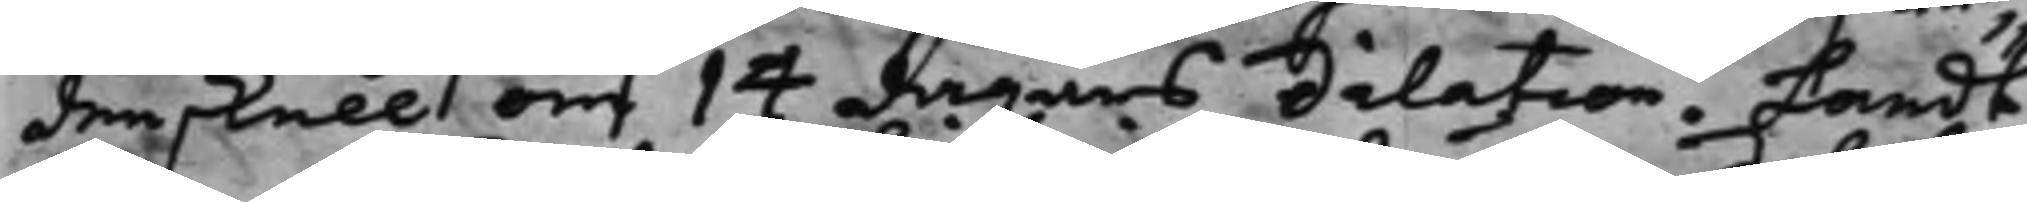denskull om 14 dagars dilation. Landt¬
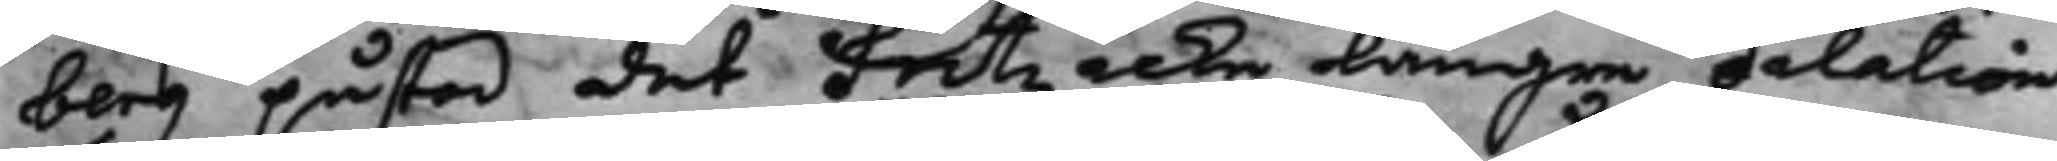berg påstod, det Fritz icke längre dilation
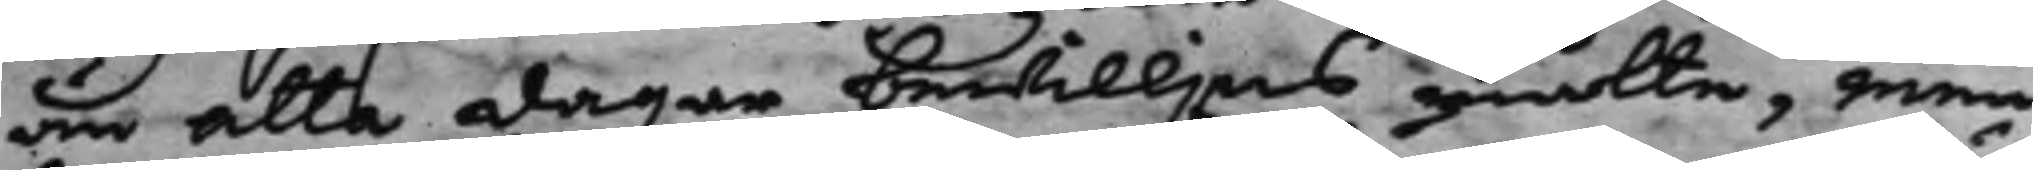än åtta dagar bewilljas måtte, men
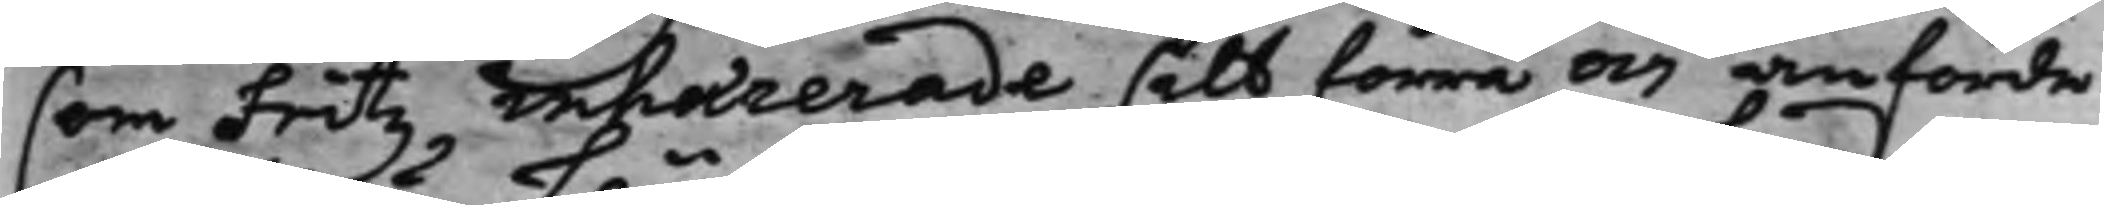som Fritz inhærerade sitt förra och anförde
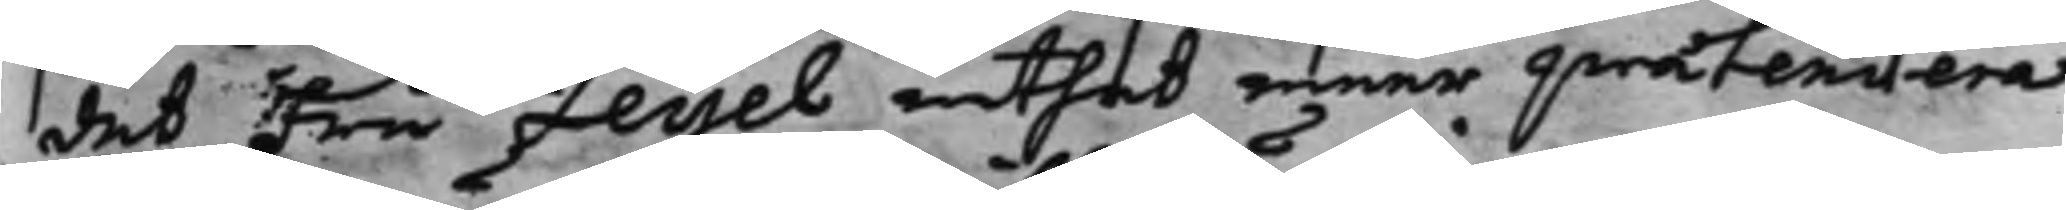det Fru Leijel intet meer prætendera
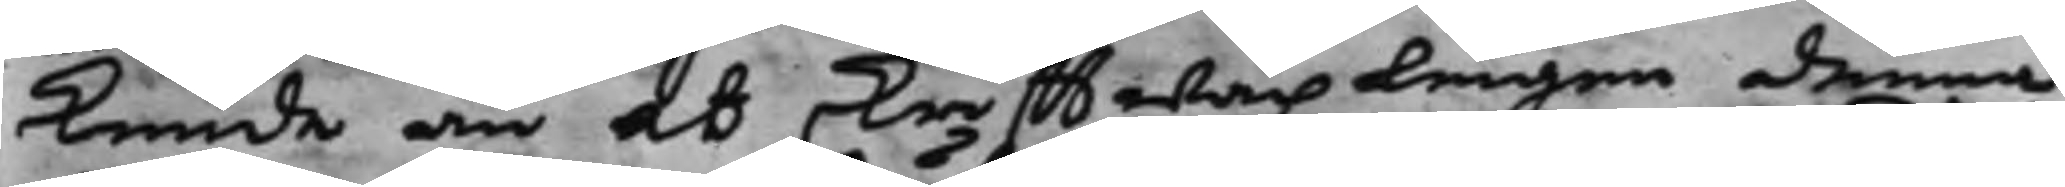kunde än at skrifftwäxlingen denna
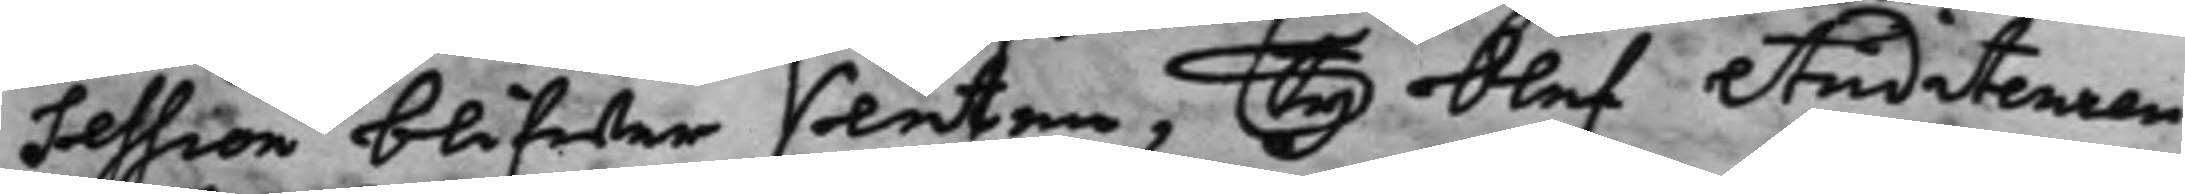Session blifwer sluten, Ty blef Auditeuren
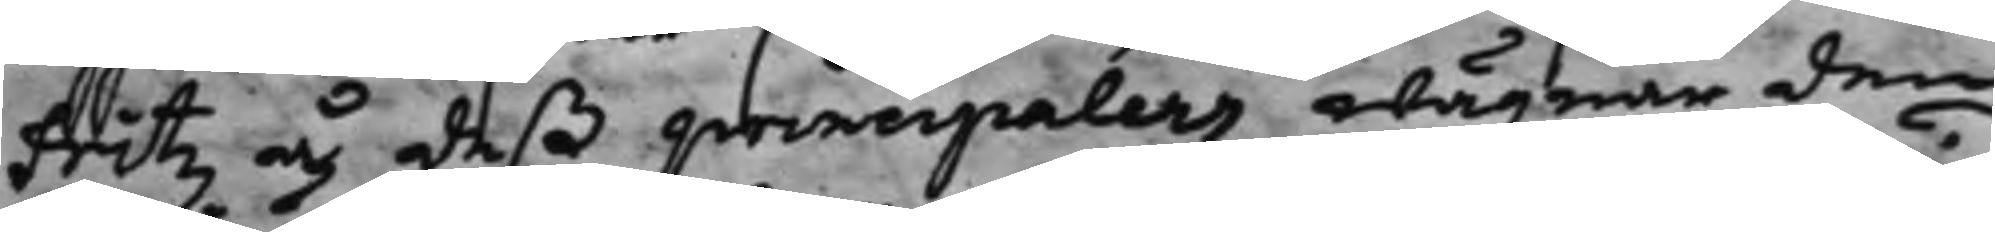Fritz å deß principalers wägnar den
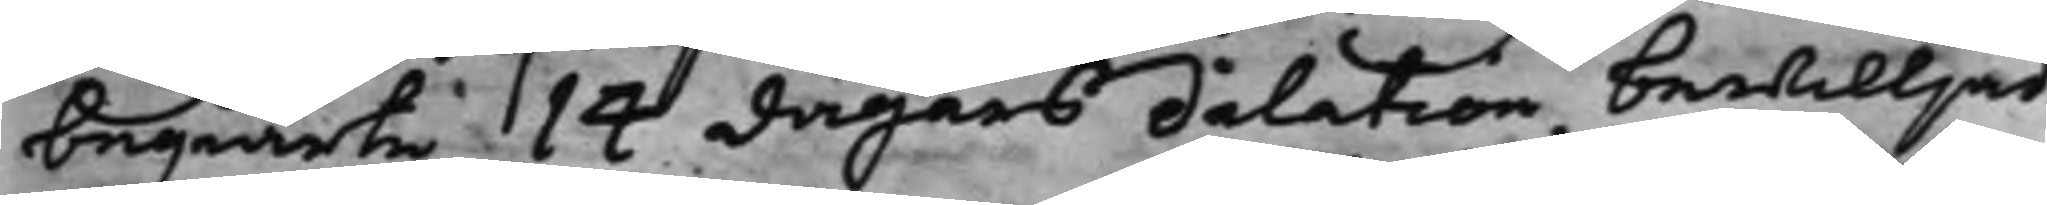begiärte 14 dagars dilation bewilljad
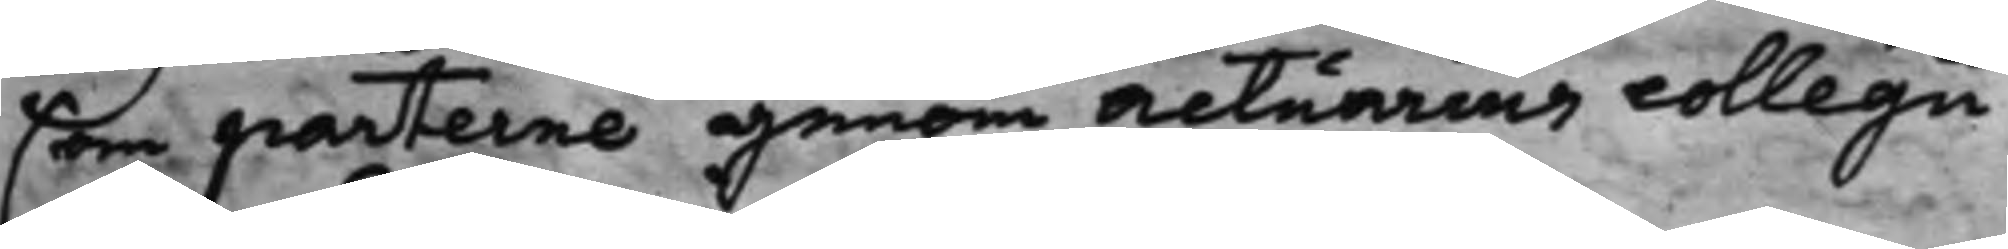som parterne genom Actuarius collegii
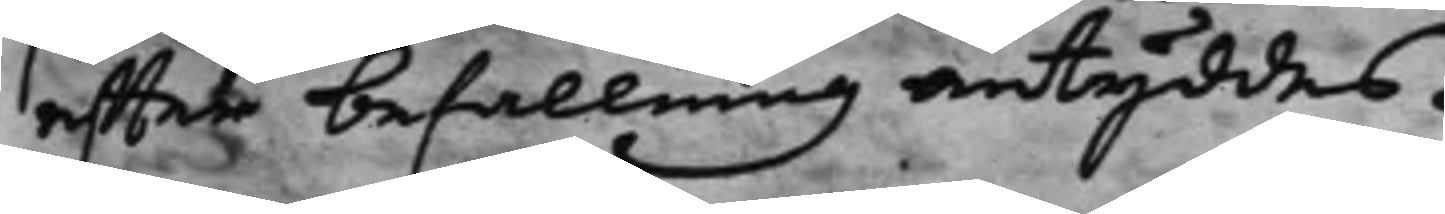effter befallning antyddes.
